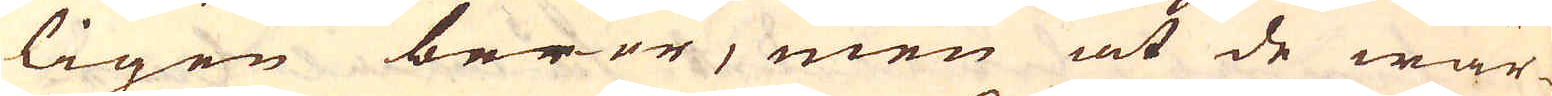ligen beror, men at de wär-
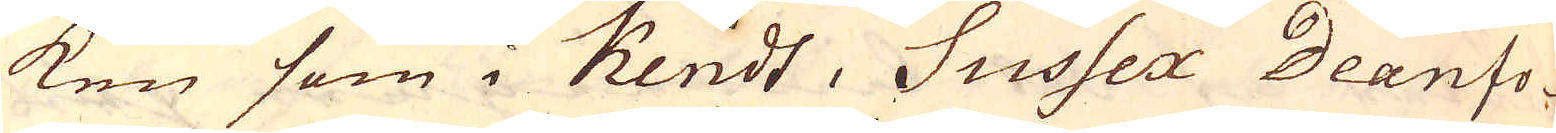ken som i Kendt, Sussex Deanfo-
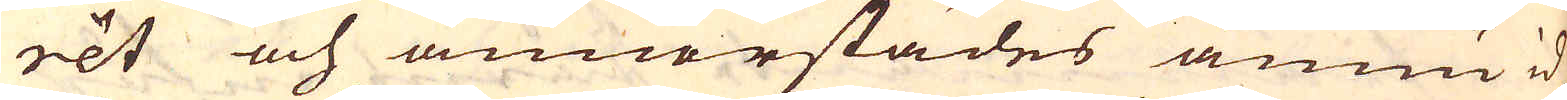rét och annorstädes ännu id-
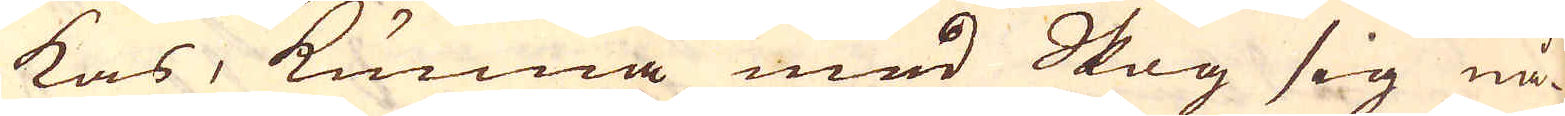kas, kunna med Skog sig nå-
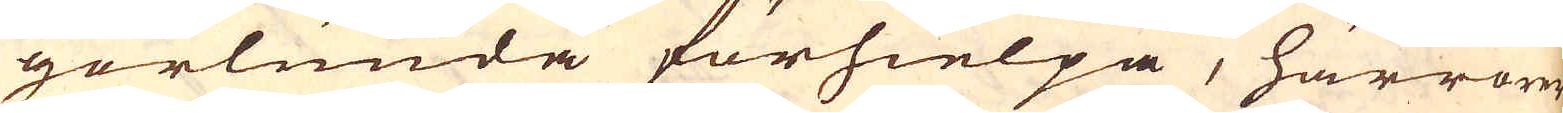gorlunda förhielpa, härrorer
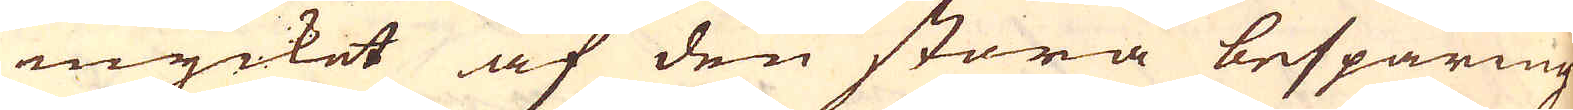mycket af den stora besparing
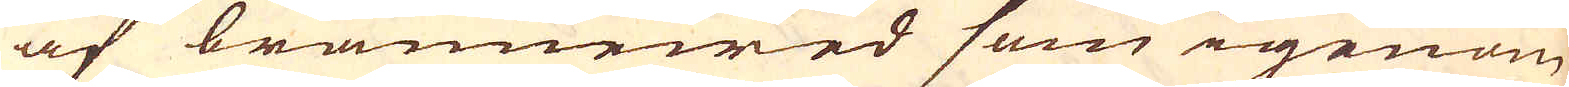af brännewed som igenom
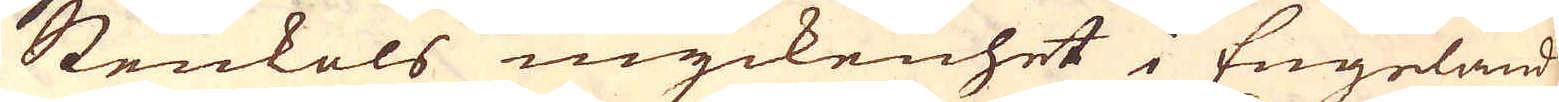Stenkols myckenhet i Engeland
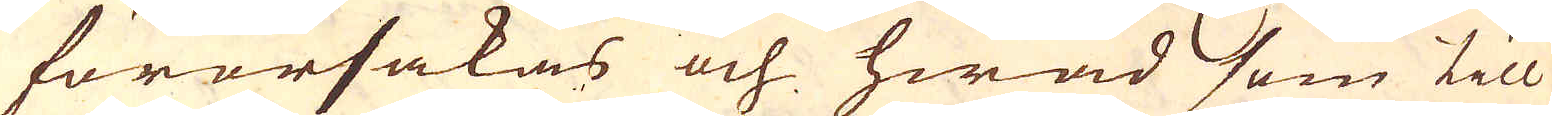förorsakas och hwad som till
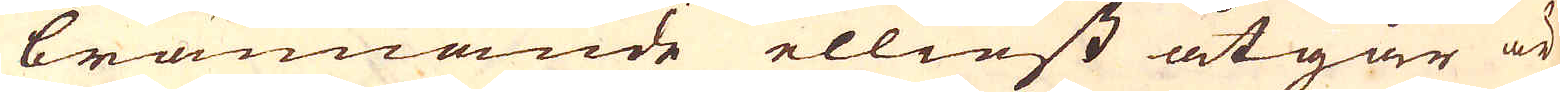brännande elliest åtgår är
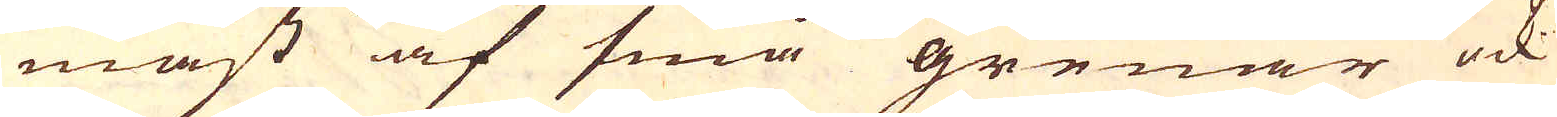mäst af små grenar ock
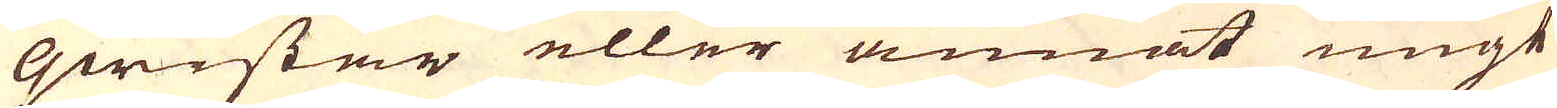qwistar eller annat ungt
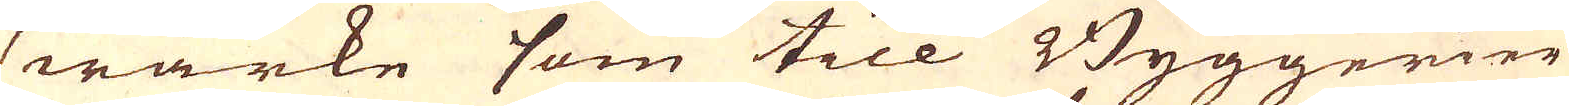wärke som till Byggerier
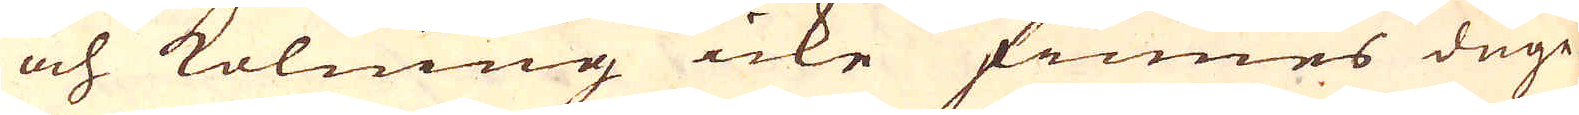och kolning icke finnes duge-
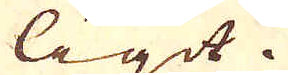ligit.
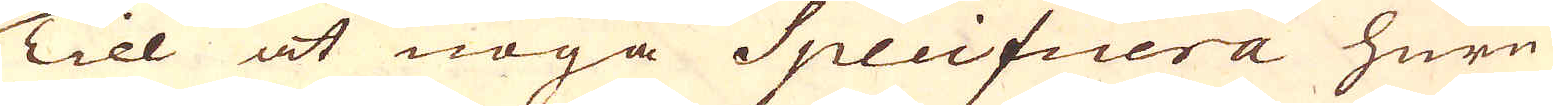Till at noga Specificera huru
